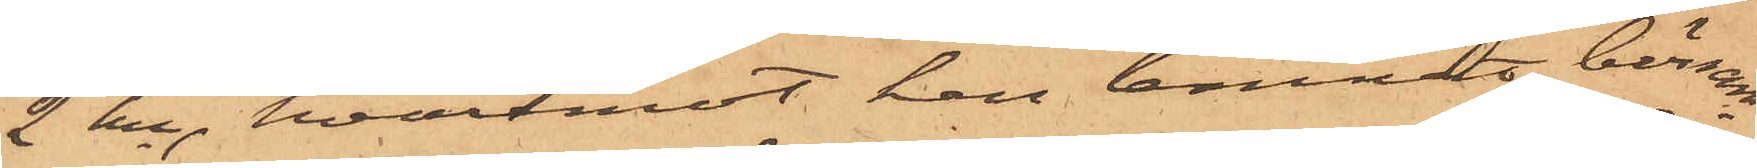2 kr, hvaremot han lemnat börsen
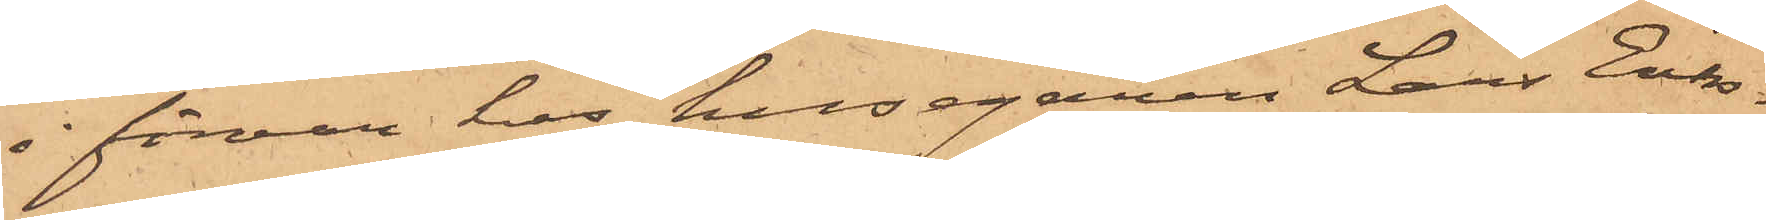i förvar hos husegaren Lars Eriks¬
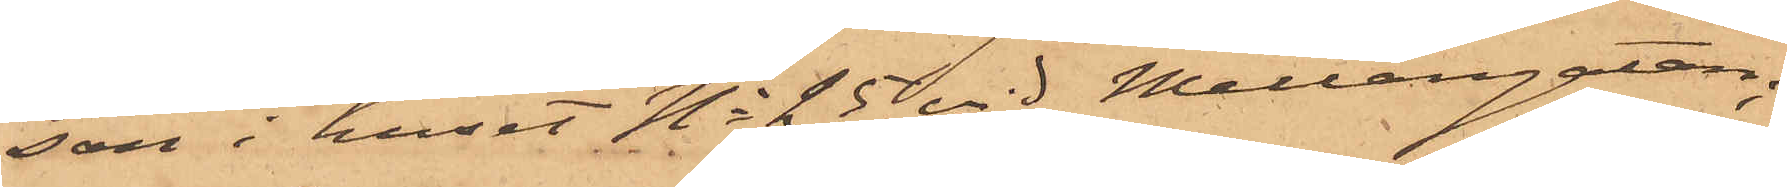son i huset No 25 vid Mellangatan,
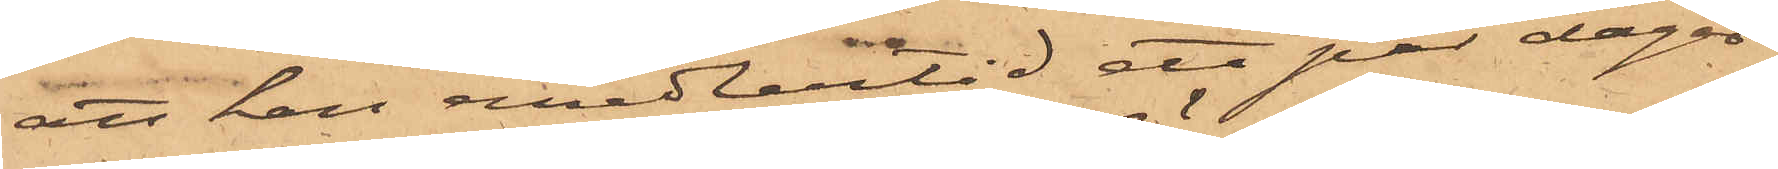att han emedlertid ett par dagar
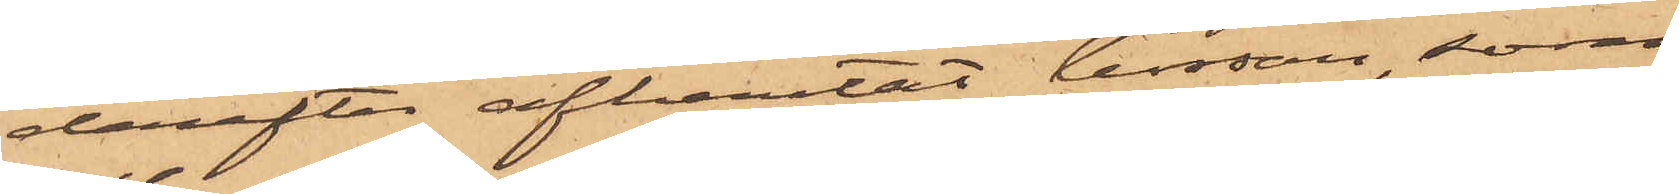derefter afhemtat börsen, som
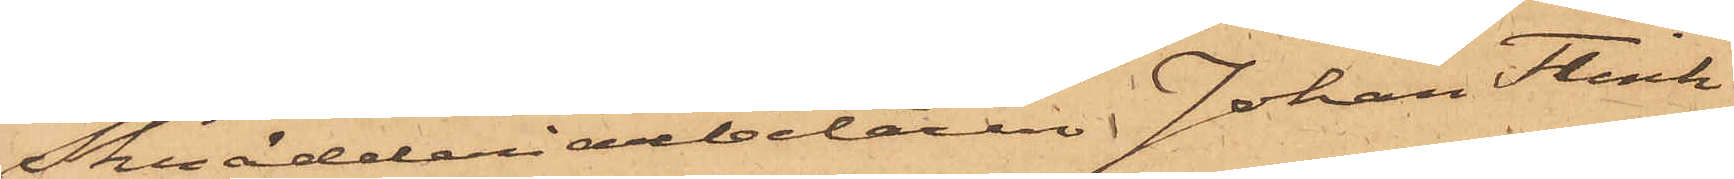skrädderiarbetaren Johan Flink
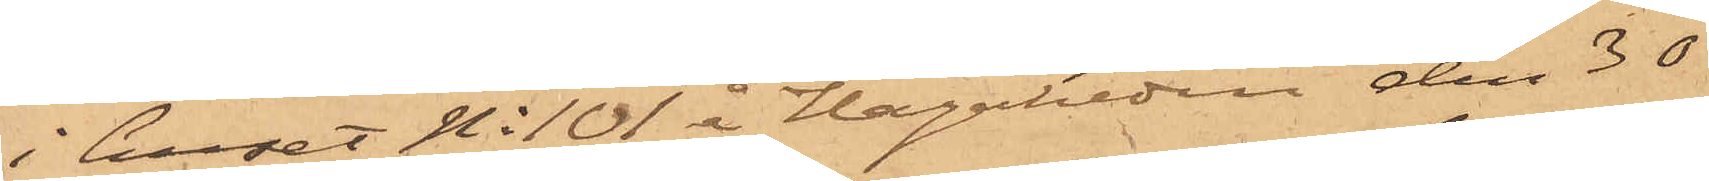i huset N: 101 i Hagaheden den 30
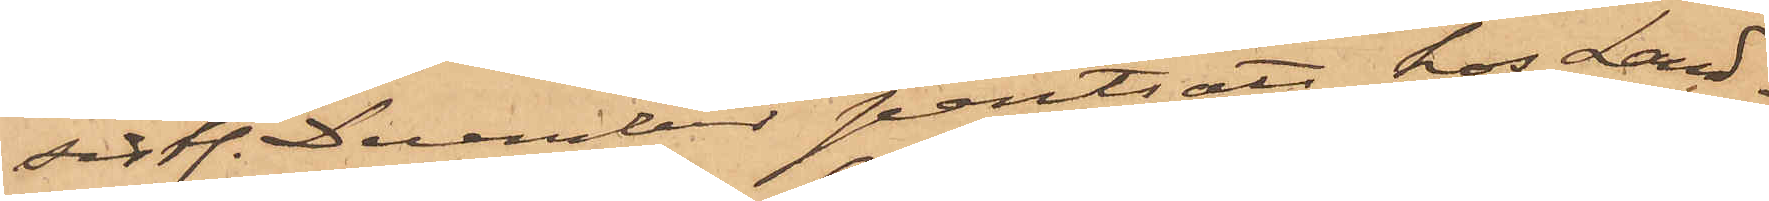sistl. December pantsatt hos Land¬
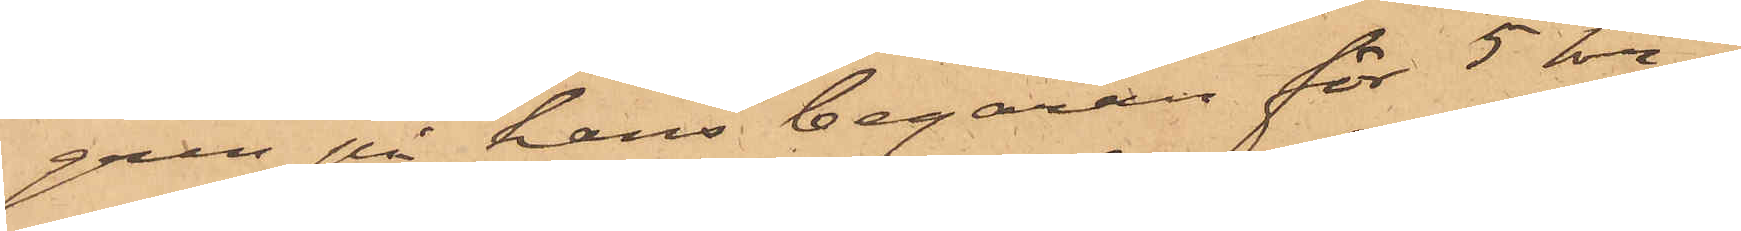gren på hans begäran för 5 kr;
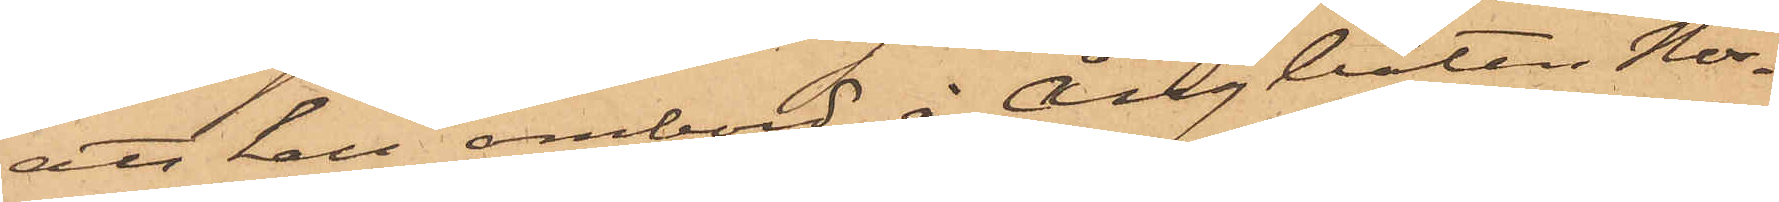att han ombord å ångbåten Nor¬
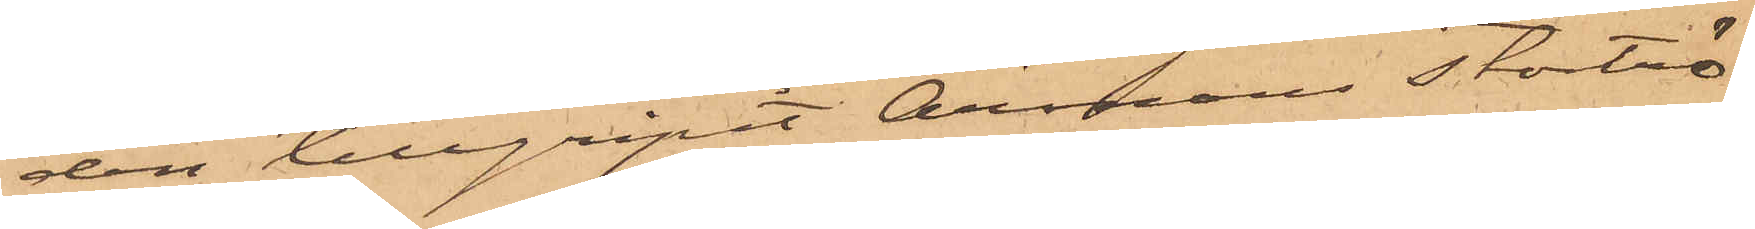den tillgripit Årmans stortrö¬
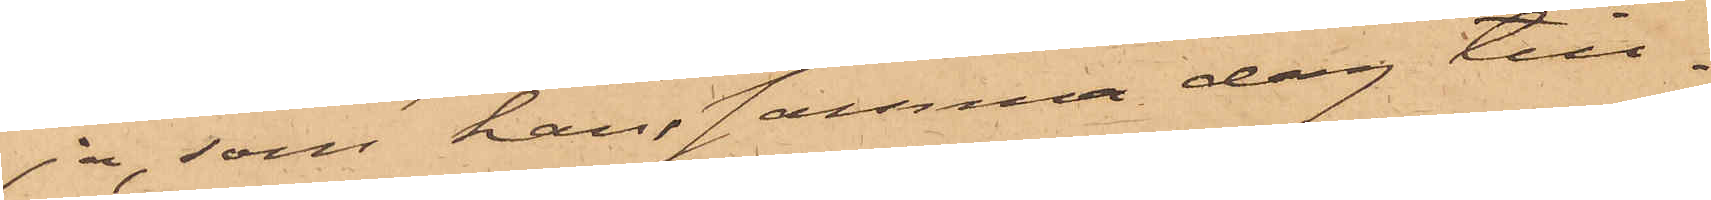ja, som han samma dag till¬
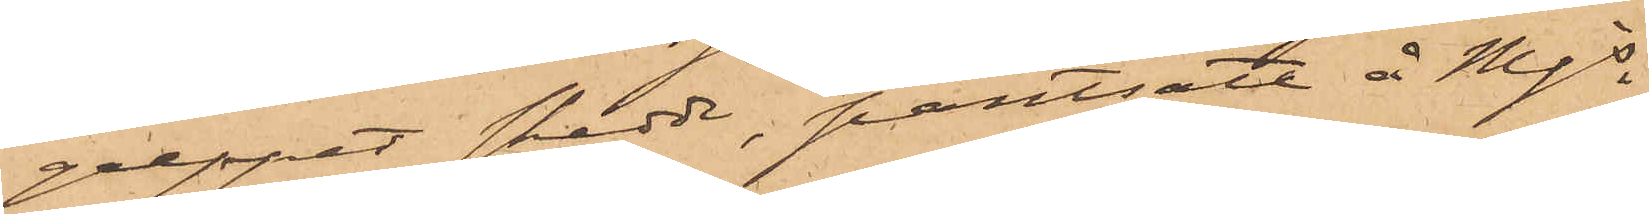greppet skedde, pantsatt å Mjs
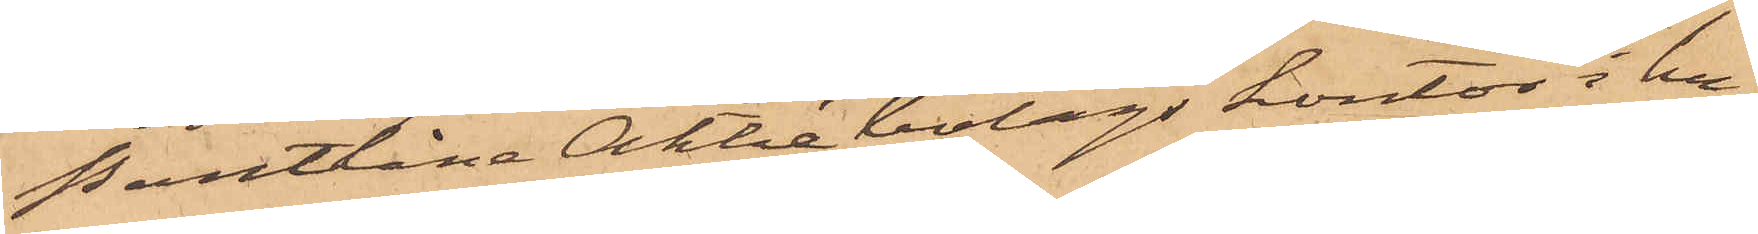Pantlåne Aktiebolags kontor i hu¬
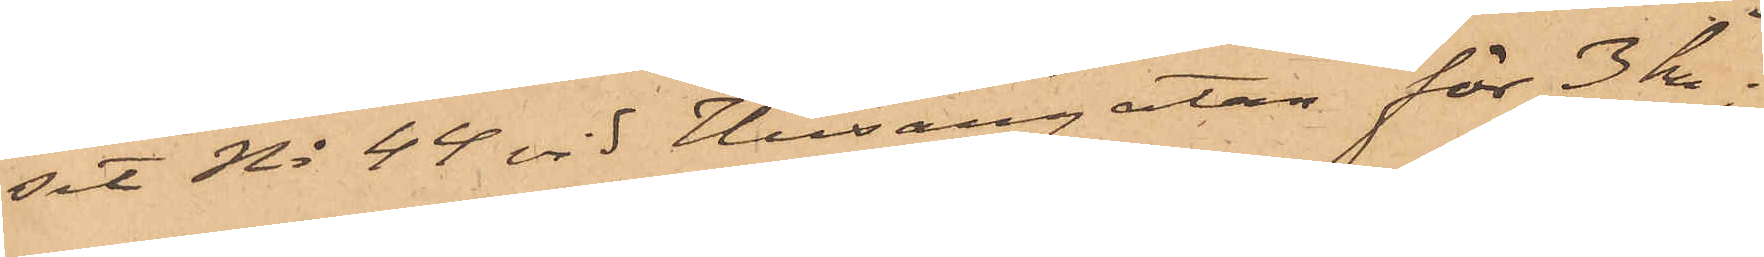set No 44 vid Husargatan för 3 kr;
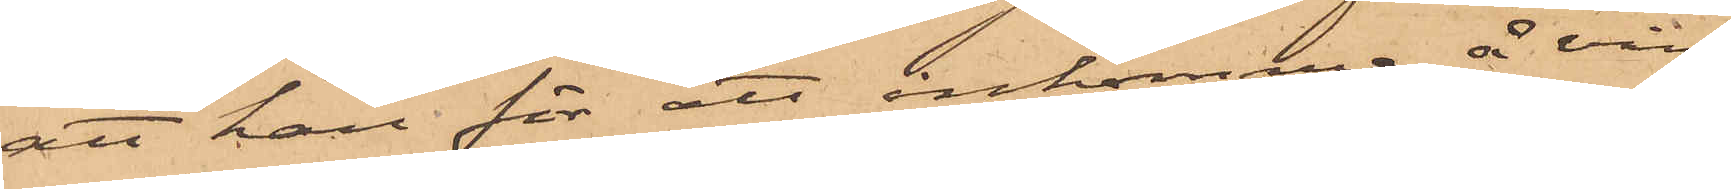att han för att inkomma å vin¬
